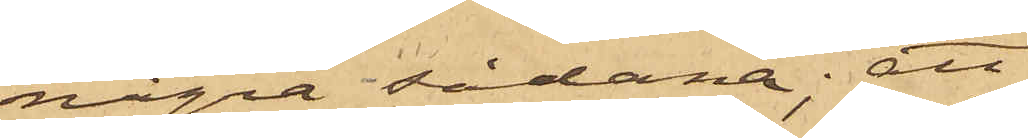några sådana; att
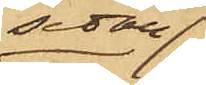sedan
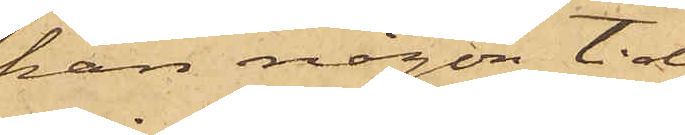han någon tid
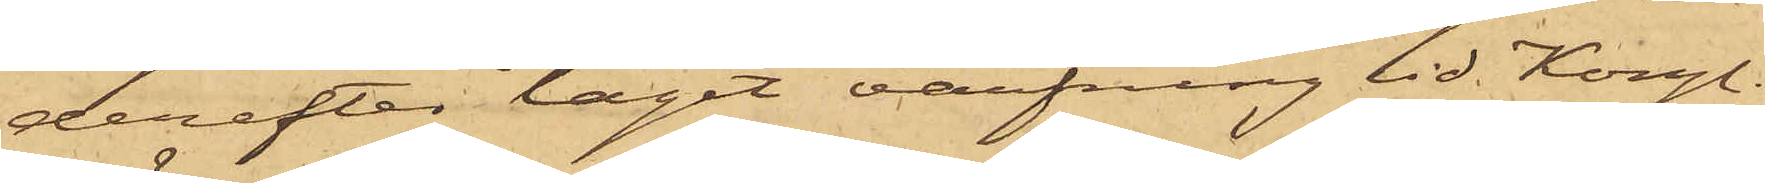derefter tagit värfning vid Kongl.
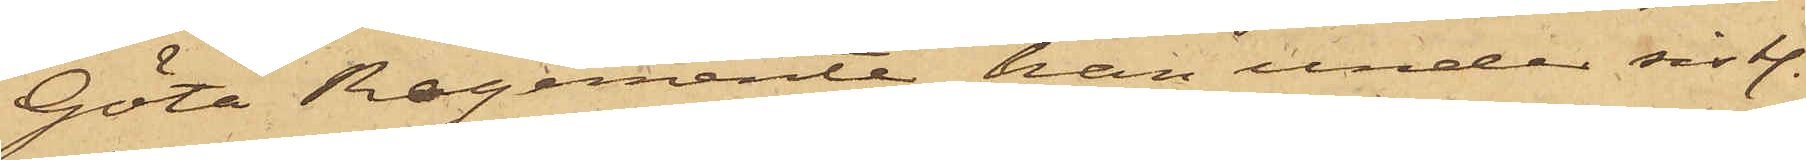Göta Regemente han under sistl.
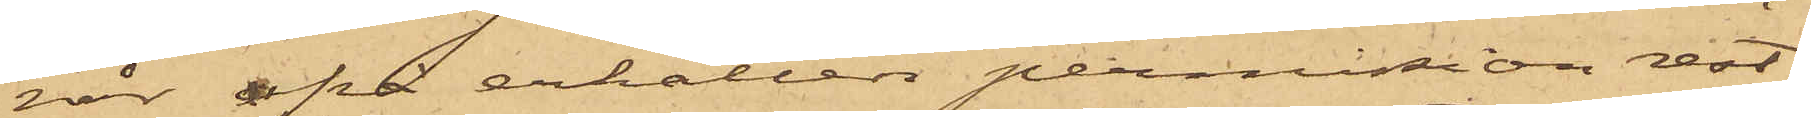vår på erhållen permission rest
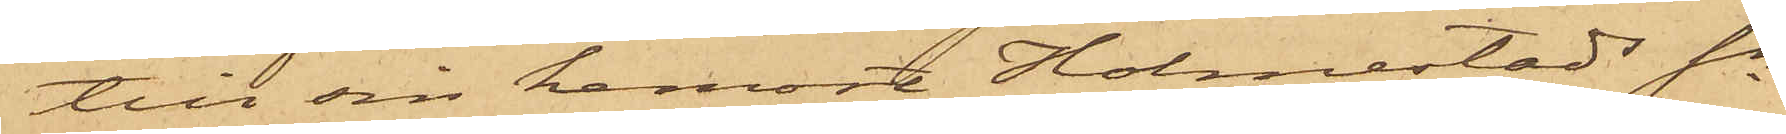till sin hemort Holmestads Sn
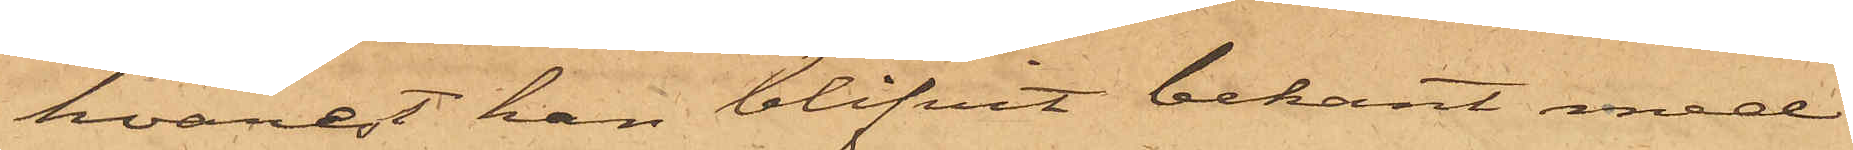hvarest han blifvit bekant med
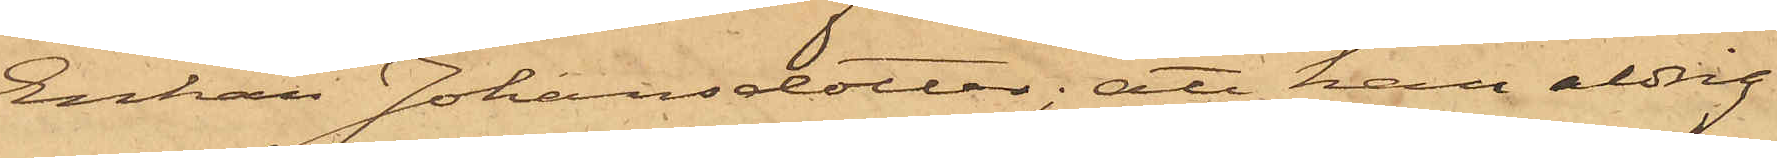Enkan Johansdotter; att han aldrig
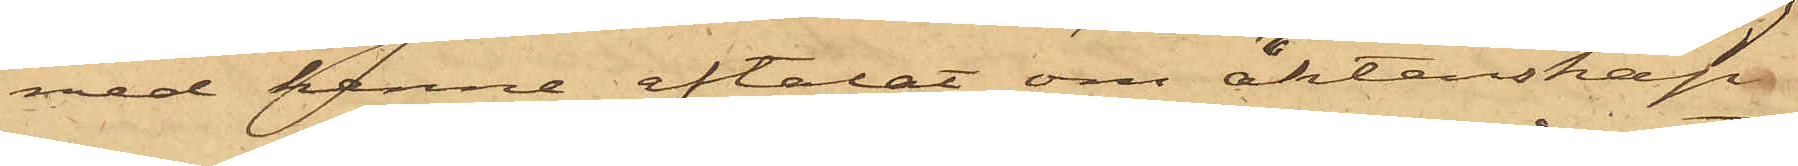med henne aftalat om äktenskap
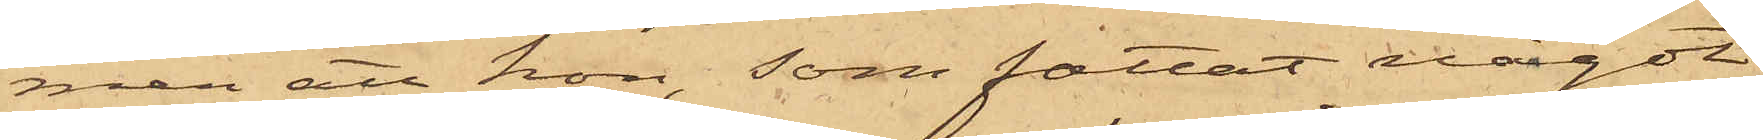men att hon, som fattat något
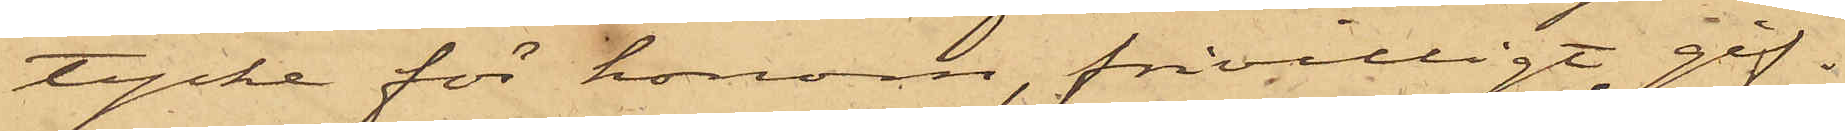tycke för honom, frivilligt gif¬
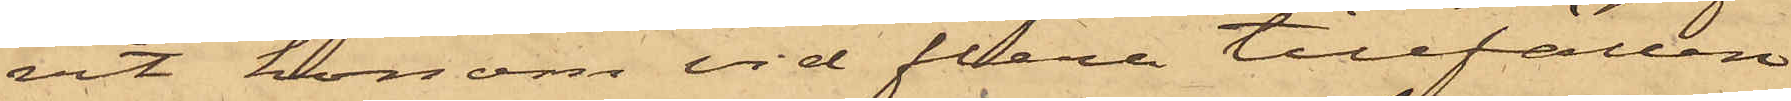vit honom vid flera tillfällen
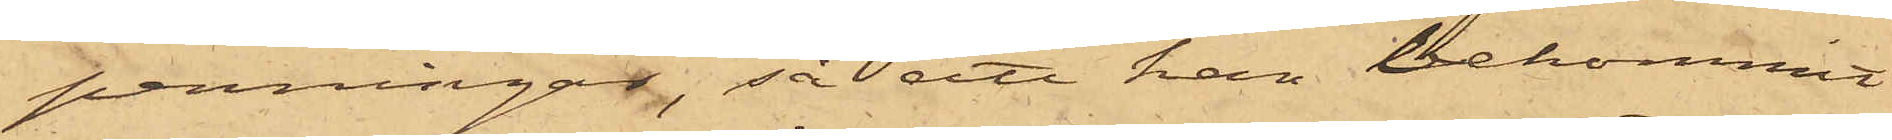penningar, så att han bekommit
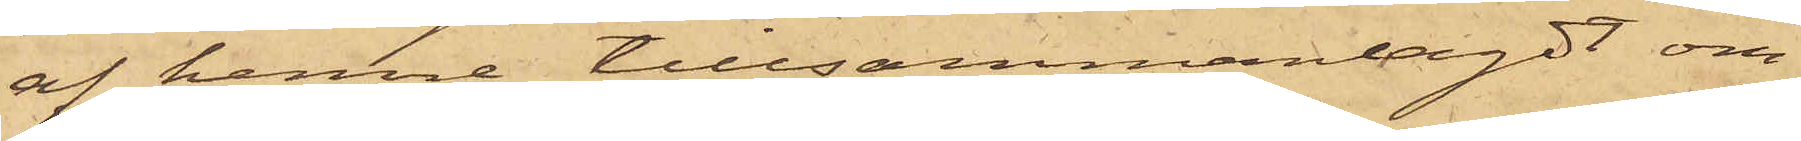af henne tillsammanlagdt om¬
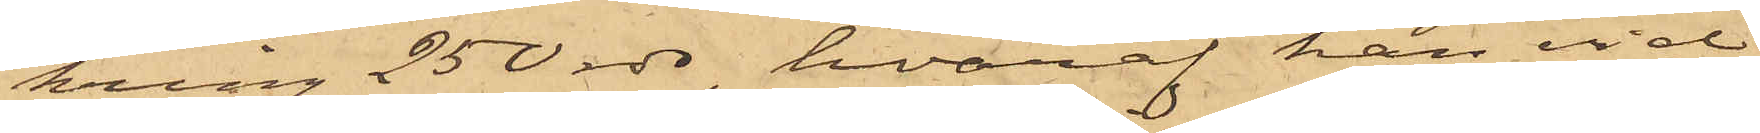kring 250 rdr, hvaraf han vid
